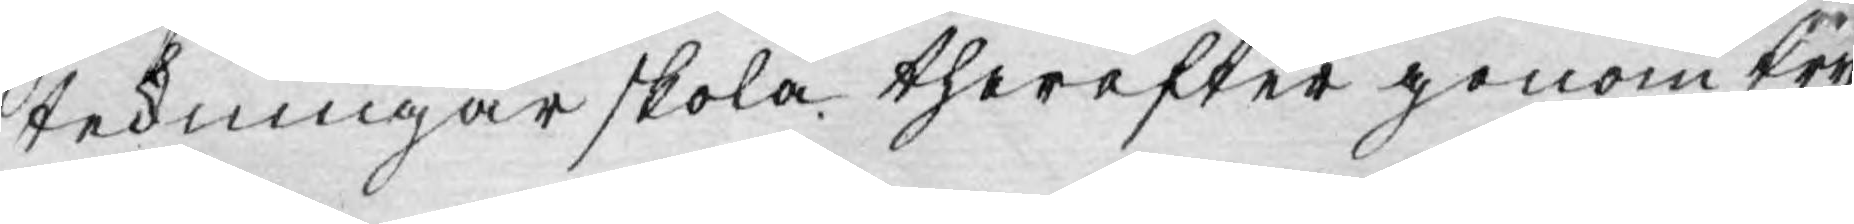teckningar skola therefter genom try¬
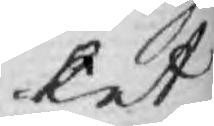cket
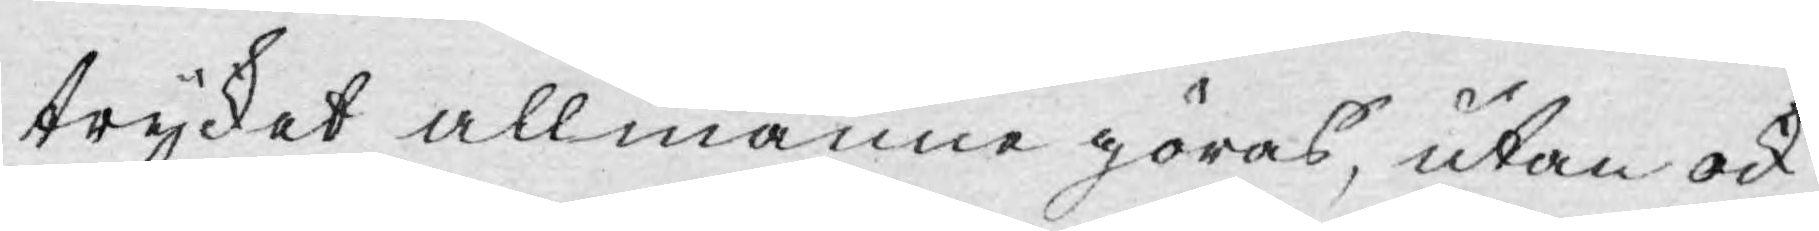trycket allmänne göras, utan ock
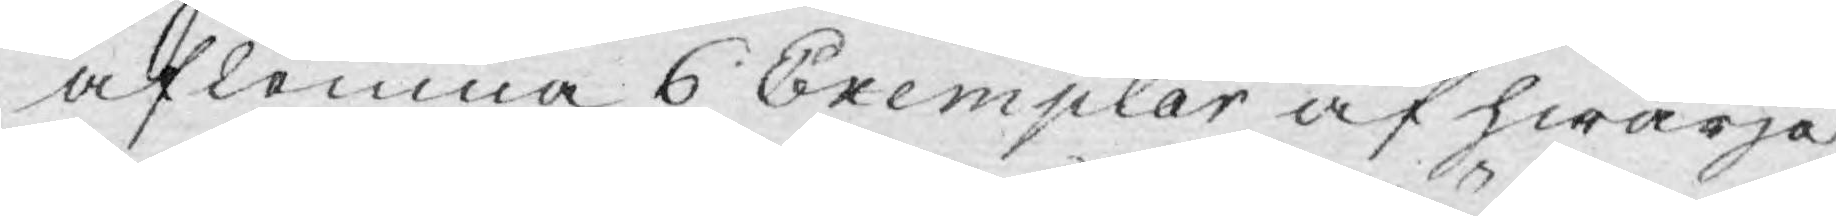aflemna 6 Exemplar af hwarje
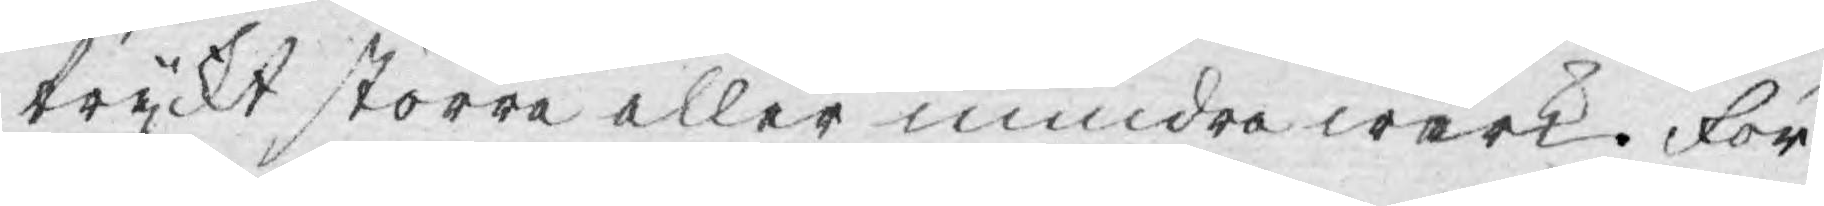tryckt större eller mindre wärk. För¬
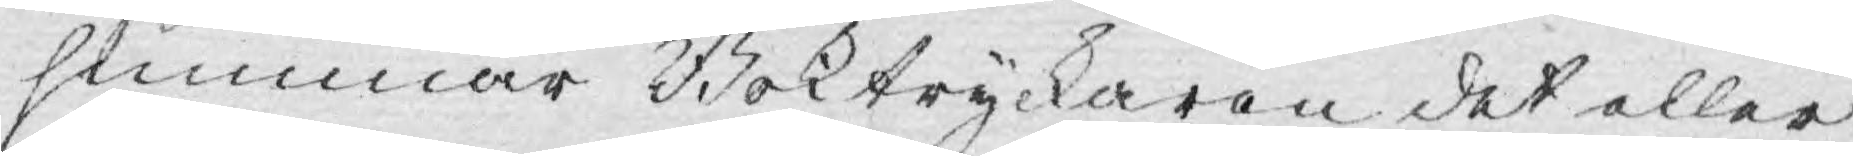summar Boktryckaren det eller
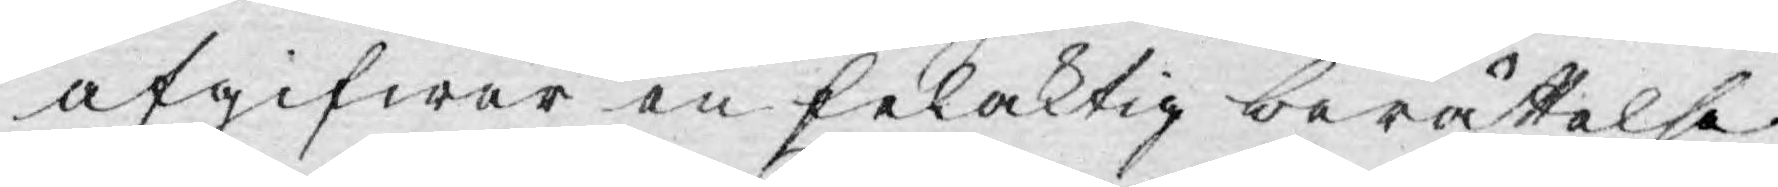afgifwer en felaktig berättelse
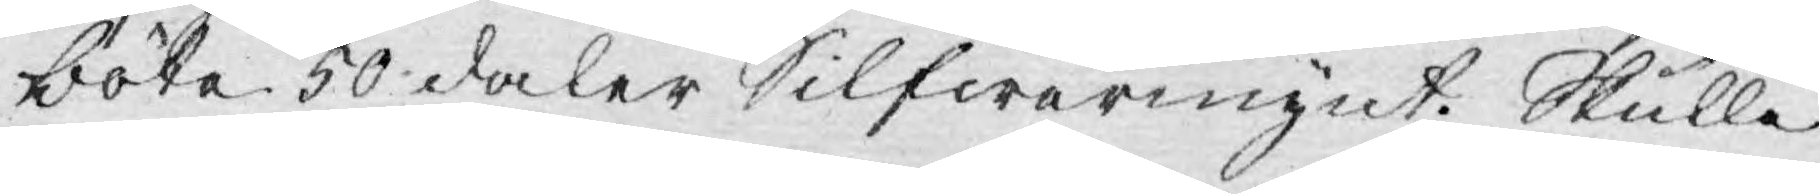böta 50 daler Silfwermynt. Skulle
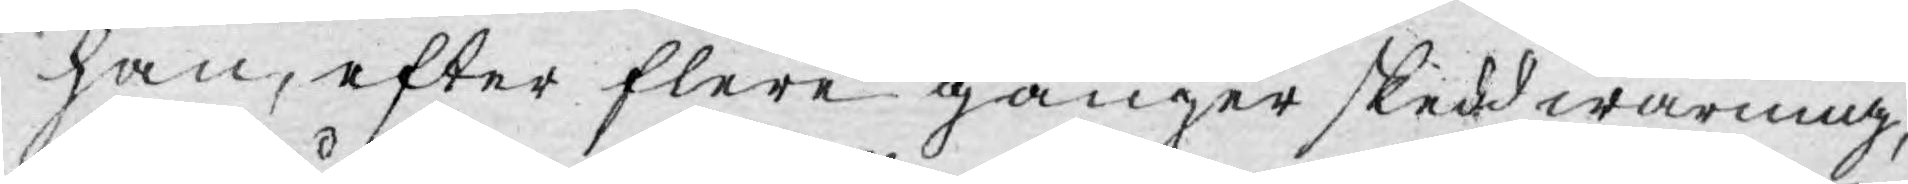han, efter flere gånger skedd warning,
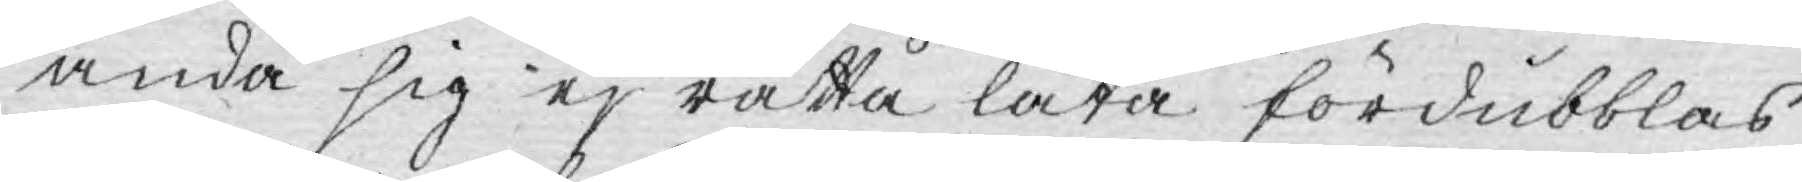ändå sig ej rätta låta fördubblas
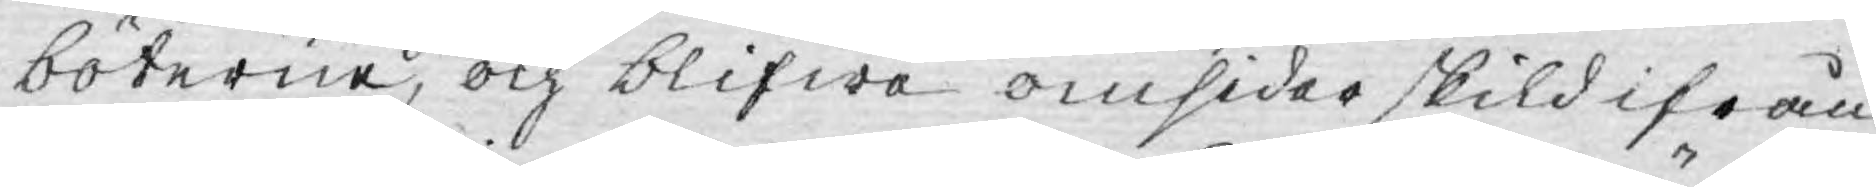böterne, och blifwa omsider skild ifrån
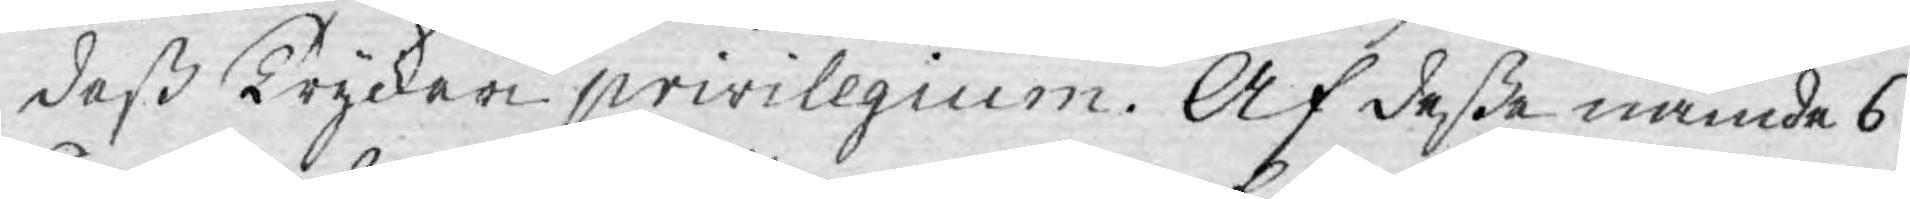deß Tryckeri privilegium. Af desse nämde 6
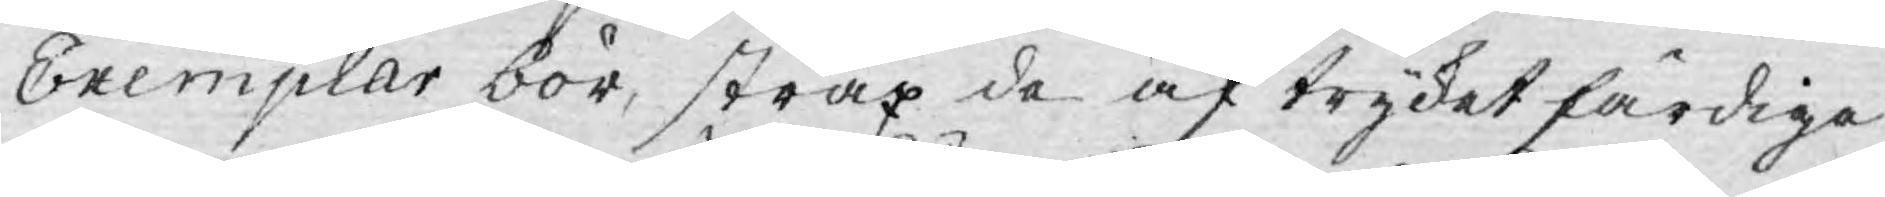Exemplar bör, strax de af trycket färdige
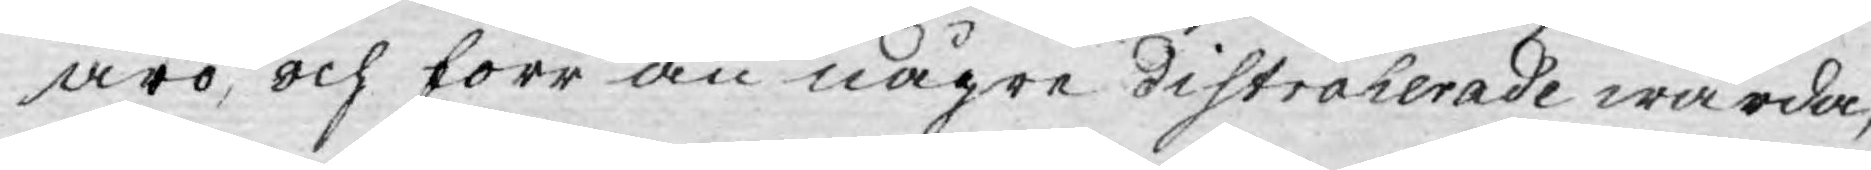äro, och förr än någre Distraherade warda,
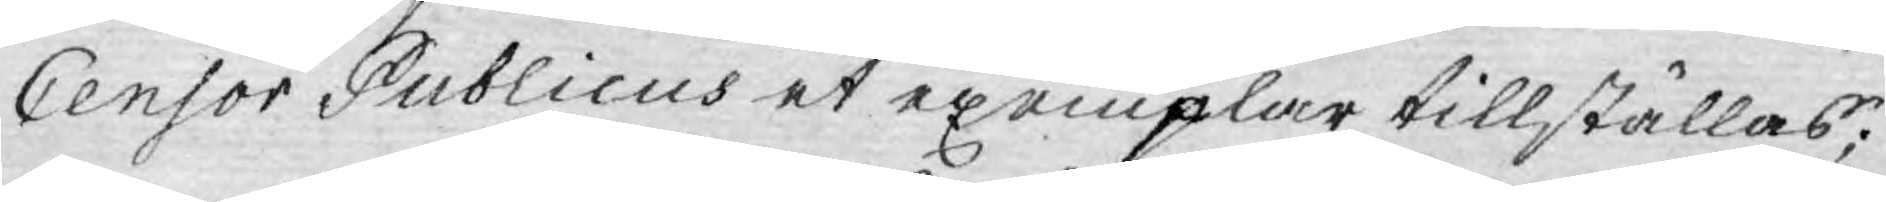Censor Publicus et exemplar tillställas;
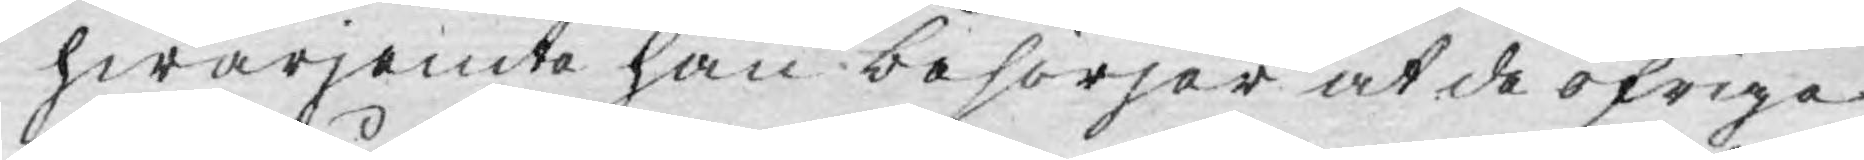hwarjemte han besörjer at de öfrige
